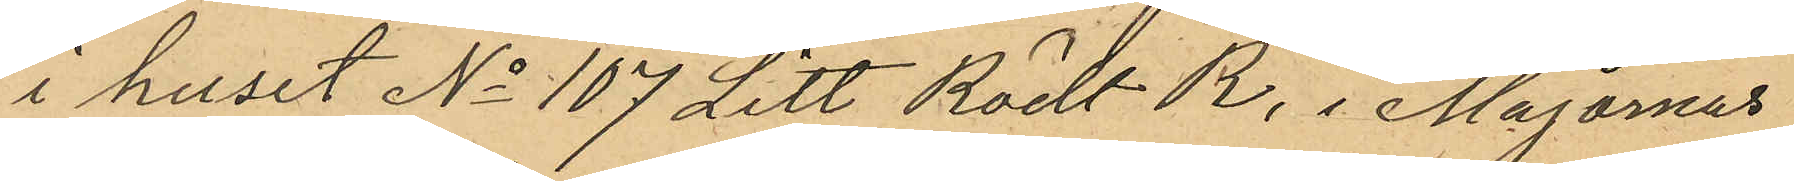i huset No 107 Litt Rödt R. i Majornas
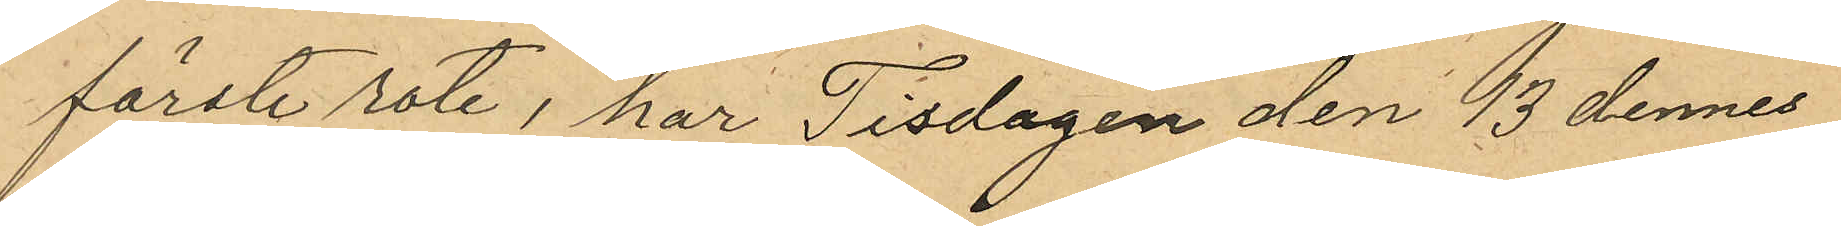förste rote, har Tisdagen den 13 dennes
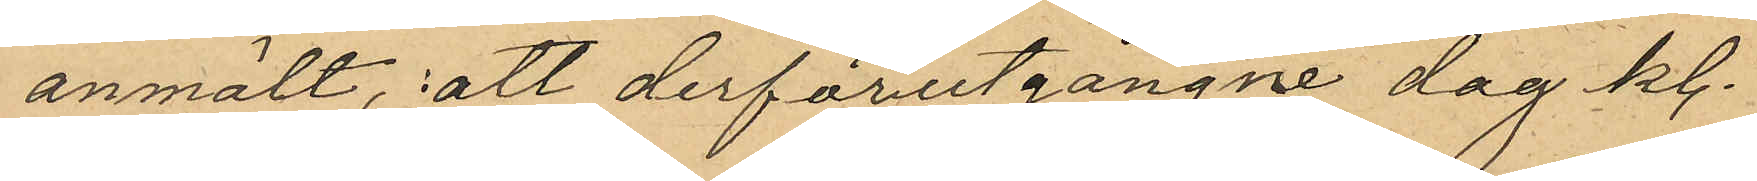anmält, att derförutgångne dag kl.
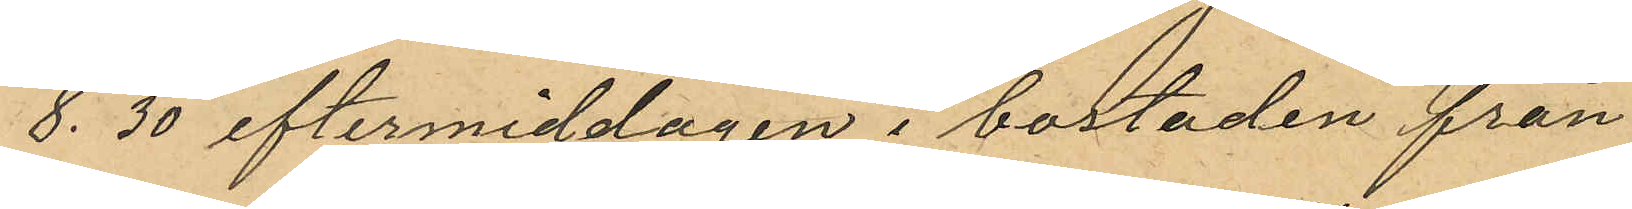8.30 eftermiddagen i bostaden från
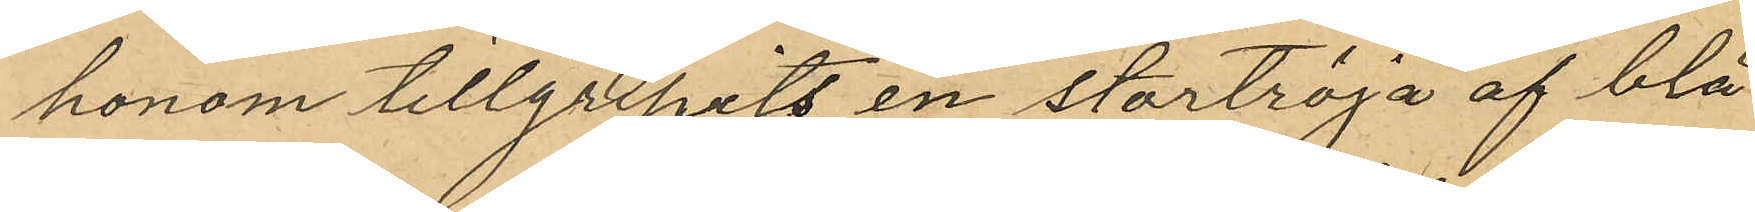honom tillgripits en stortröja af blå¬
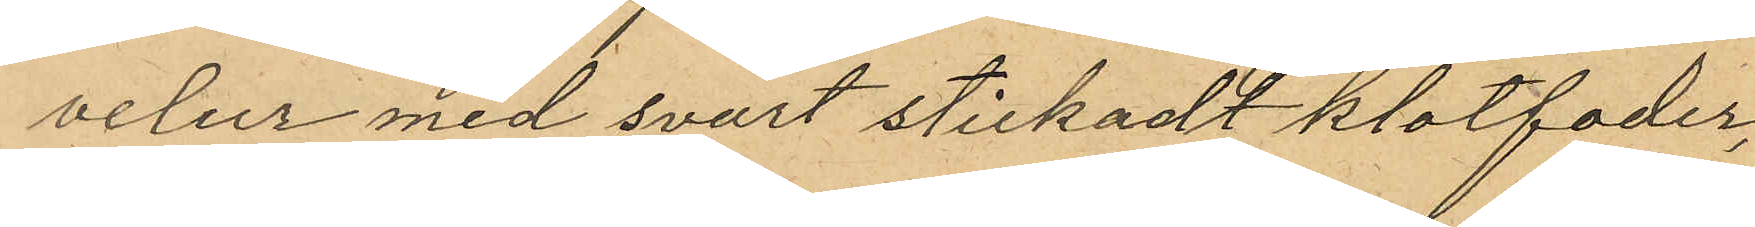velur med svart stickadt klotfoder,
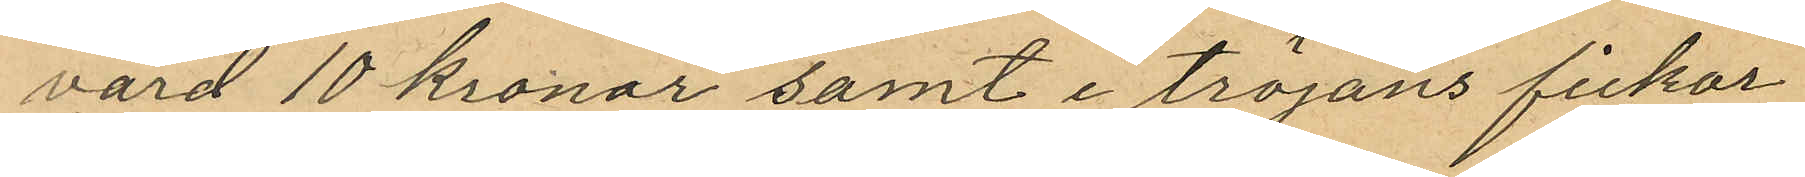värd 10 kronor samt i tröjans fickor
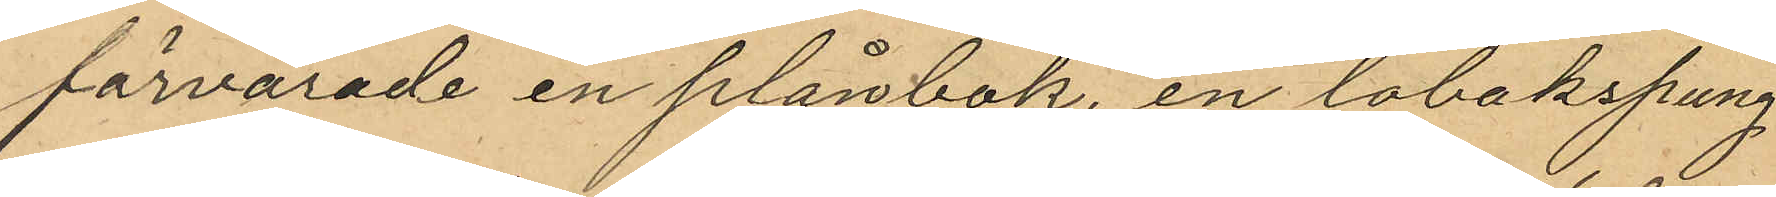förvarade en plånbok, en tobakspung
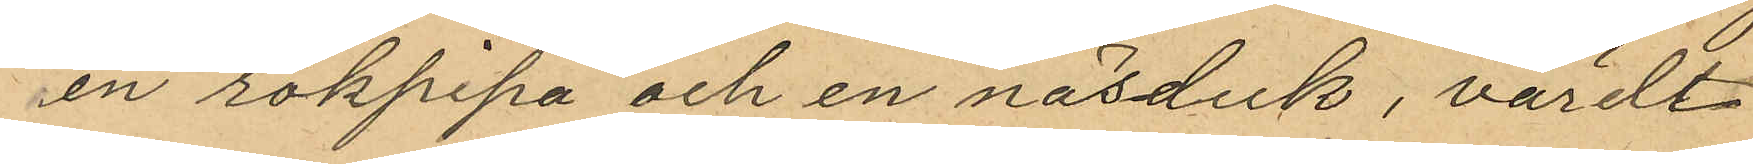en rökpipa och en näsduk, värdt
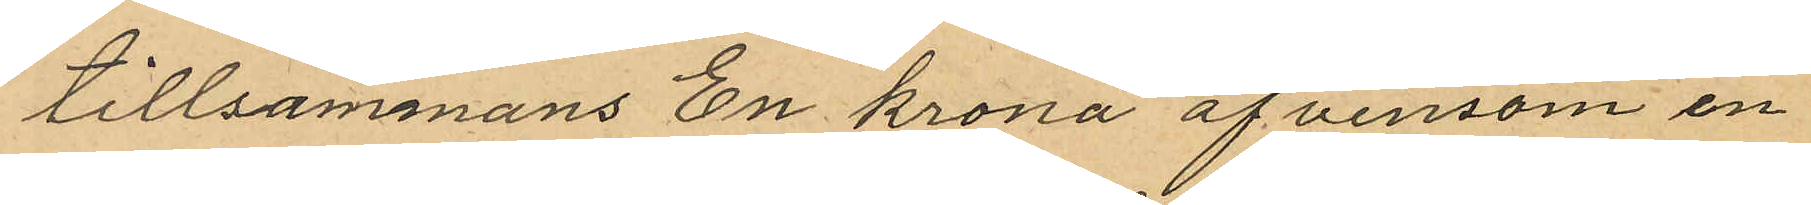tillsammans En krona äfvensom en
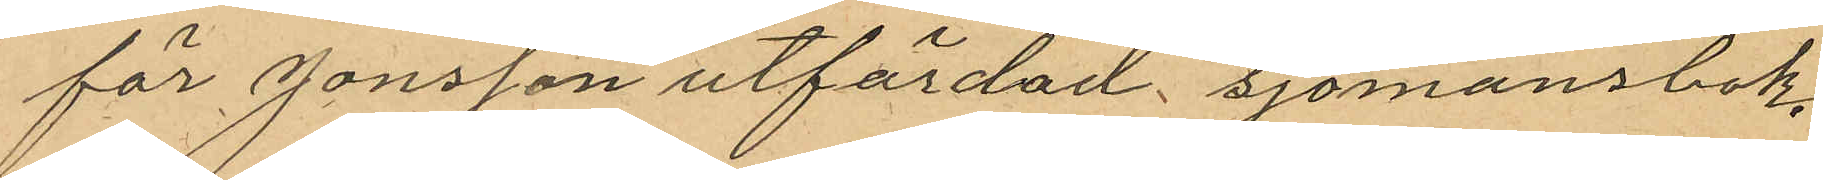för Jonsson utfärdad sjömansbok.
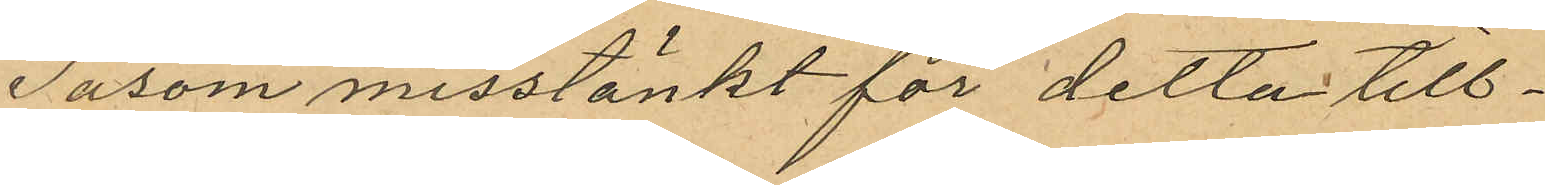Såsom misstänkt för detta till¬
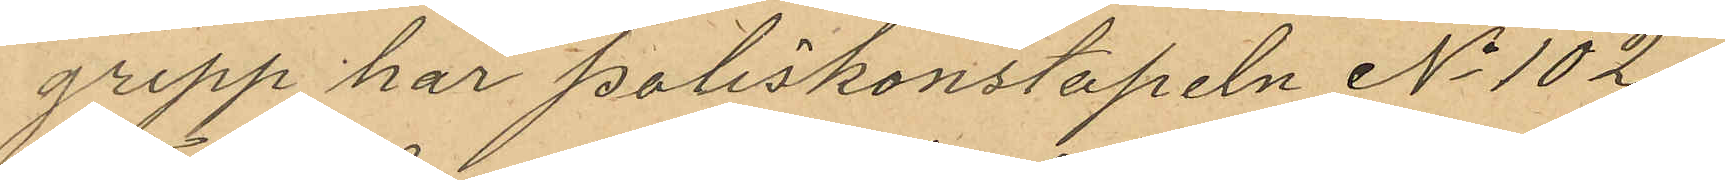grepp har Poliskonstapeln No 102
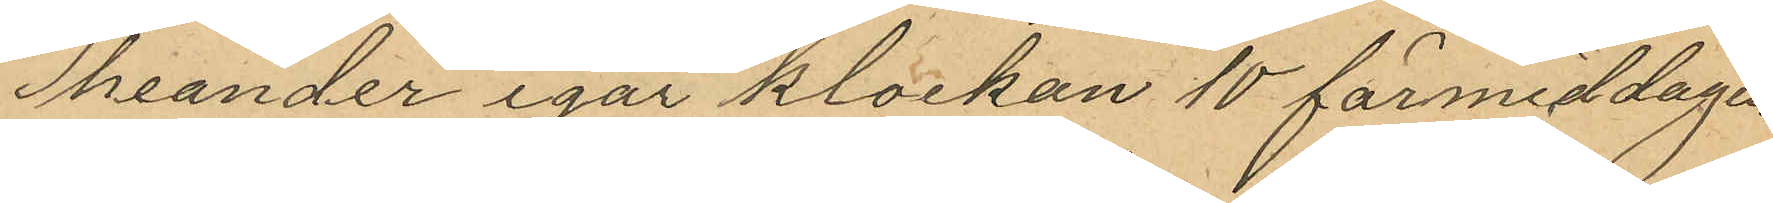Theander igår klockan 10 förmiddagen
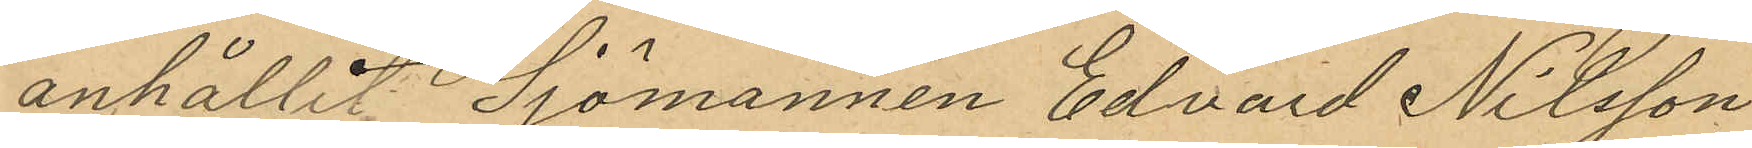anhållit Sjömannen Edvard Nilsson
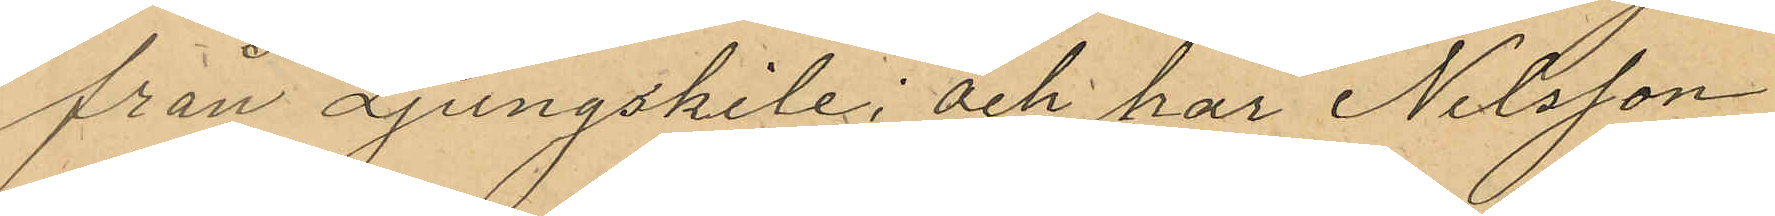från Ljungskile; och har Nilsson
